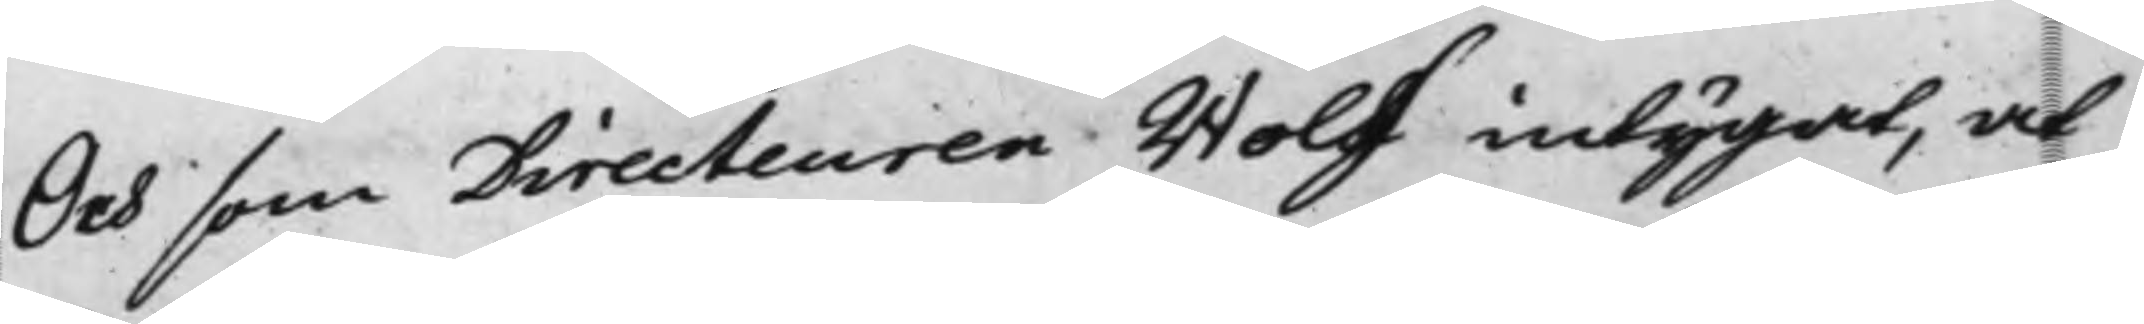Och som Directeuren Wolf intygat, at
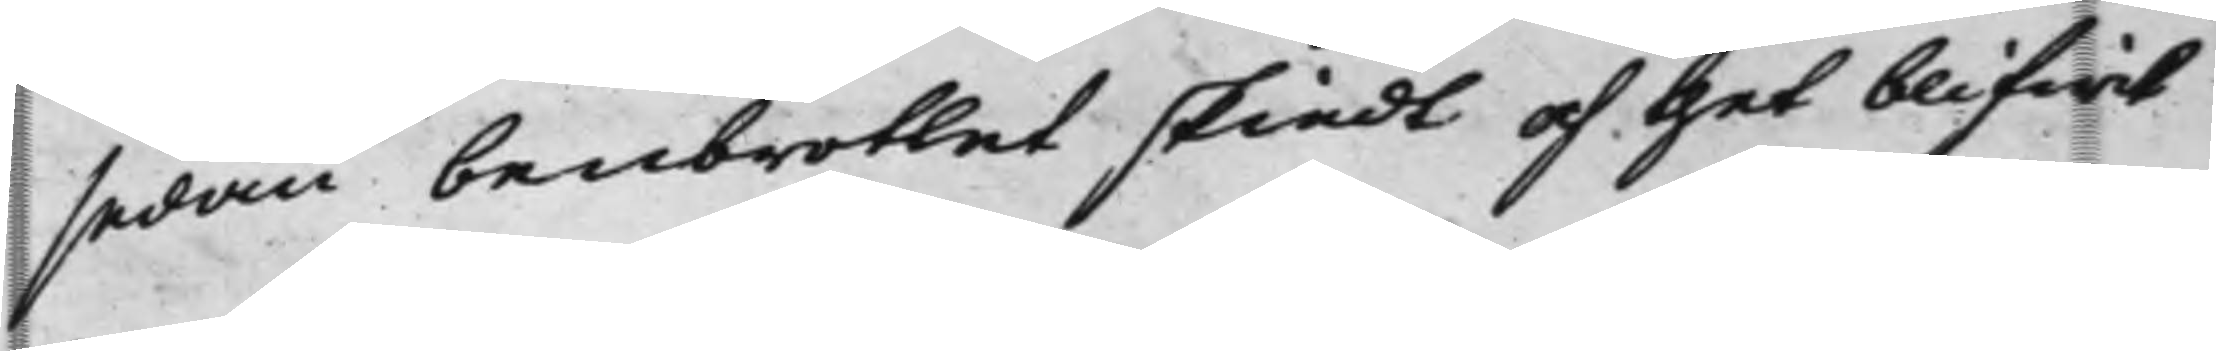sedan benbrottet skiedt och thet blifwit
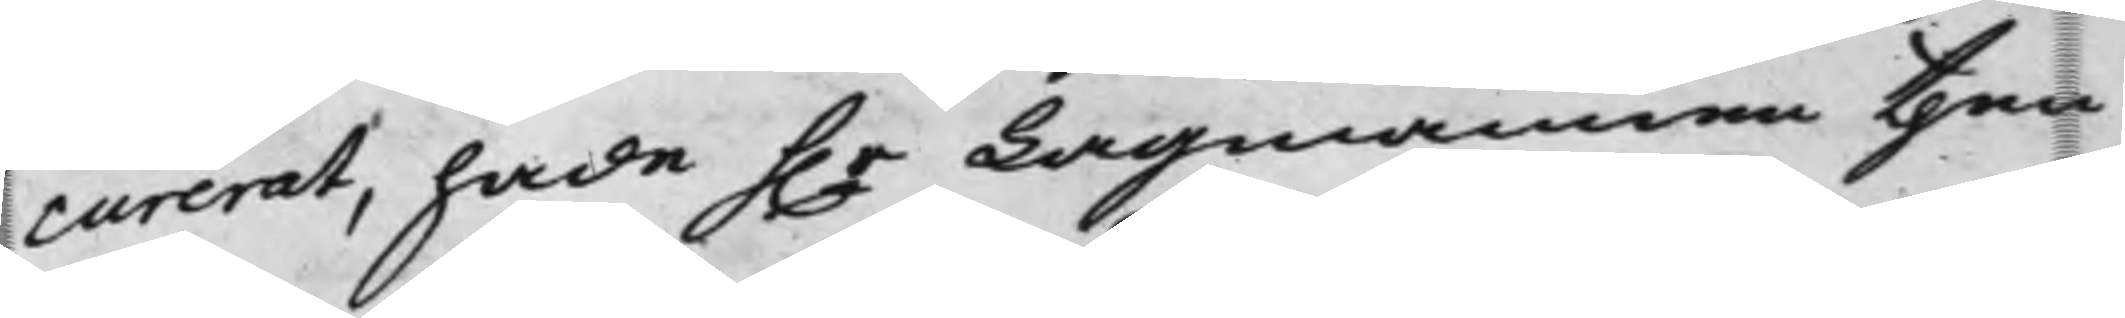curerat, hade h.r L;agmannen then
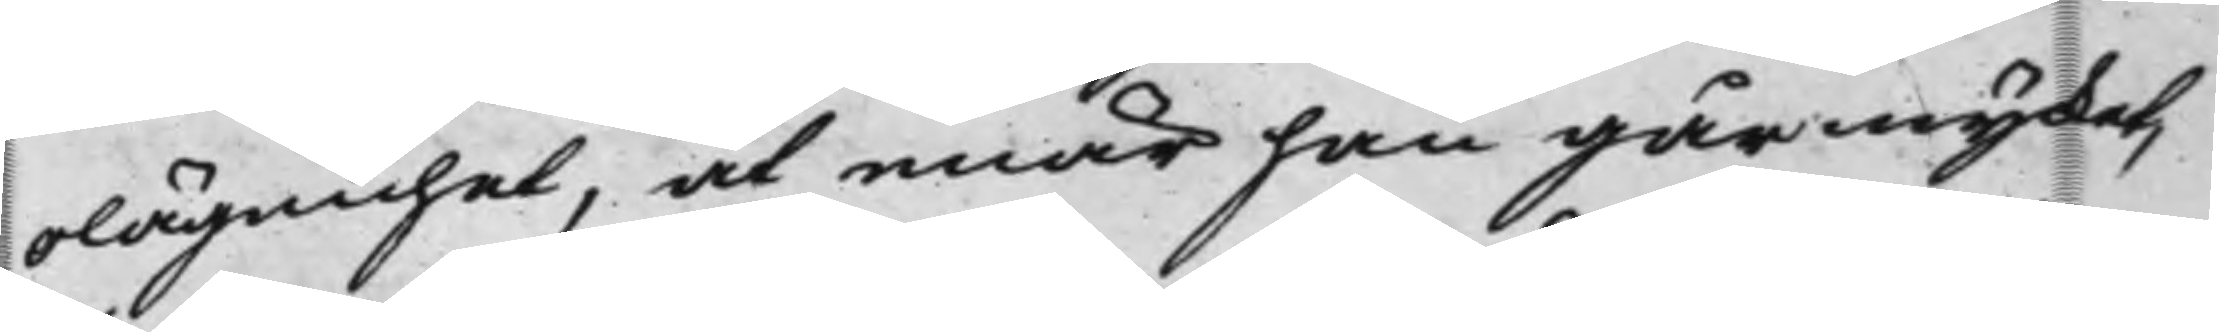olägenhet, at enär han går mycket,
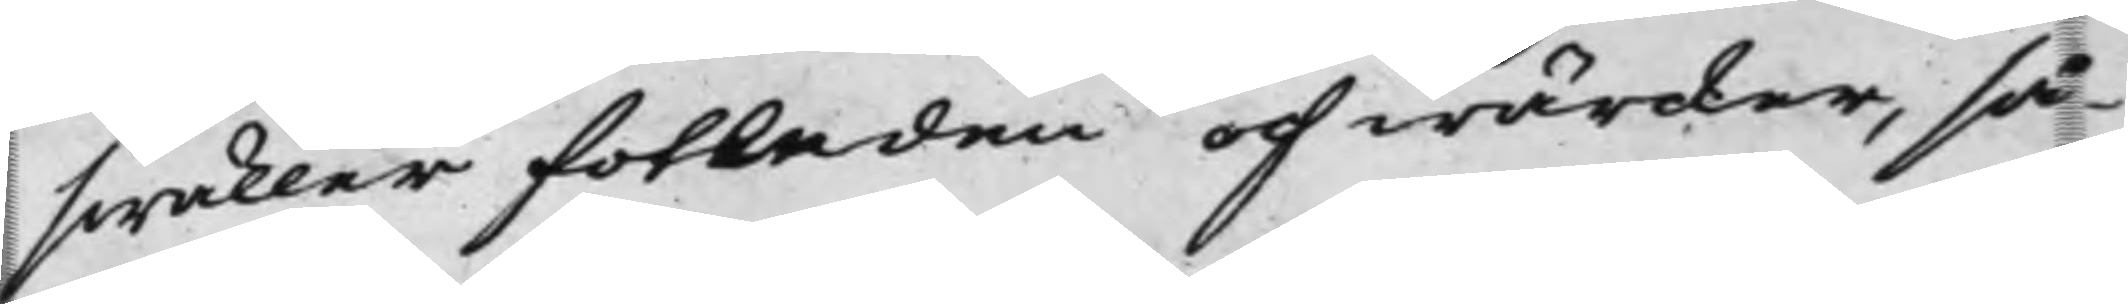swäller fotbladen och wärcker, så
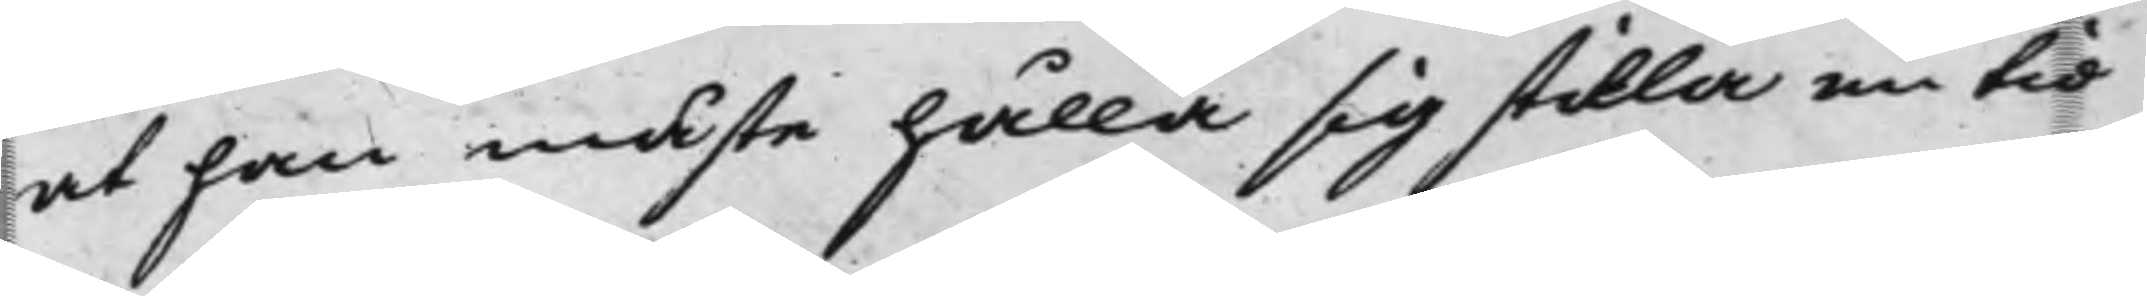at han måste hålla sig stilla en tid
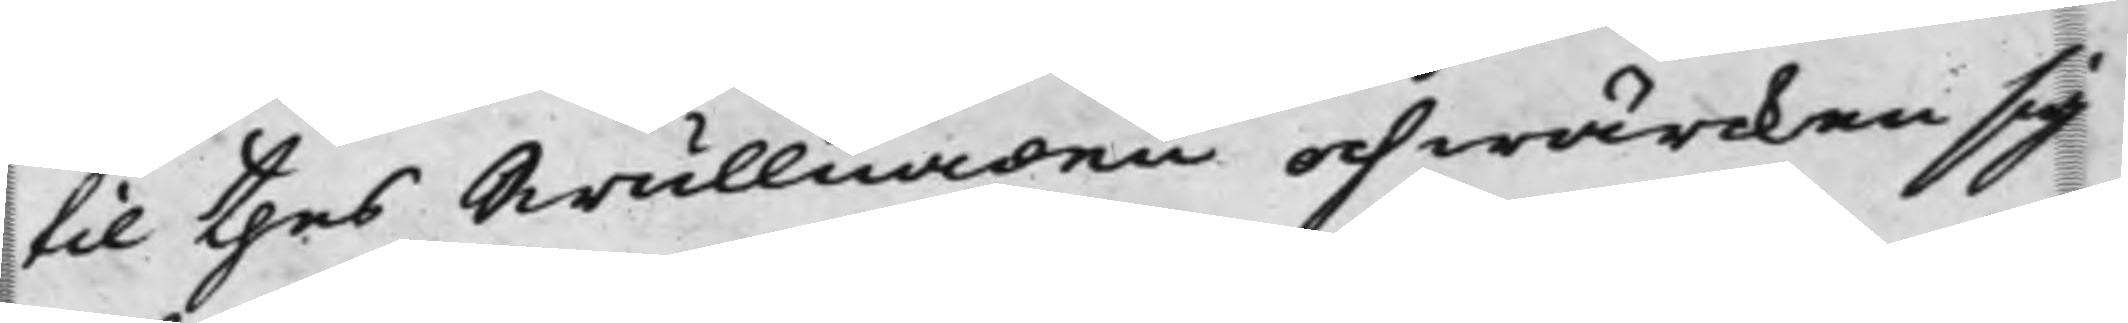til thes Swullnaden och wärcken sig
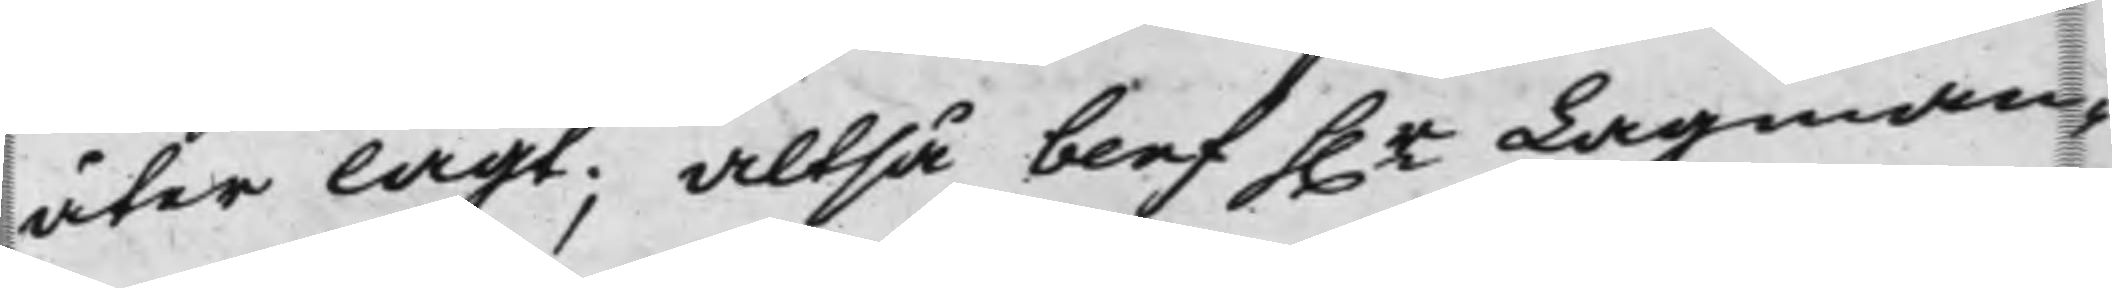åter lagt; Altså blef h.r Lagman¬
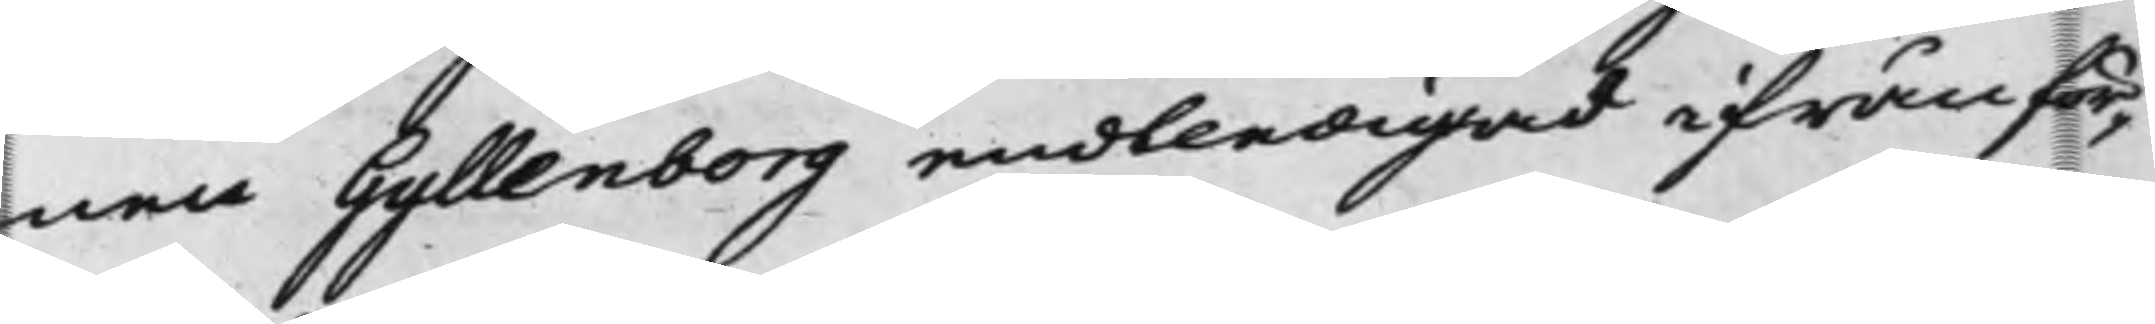nen Gyllenborg endtledigad ifrån för¬
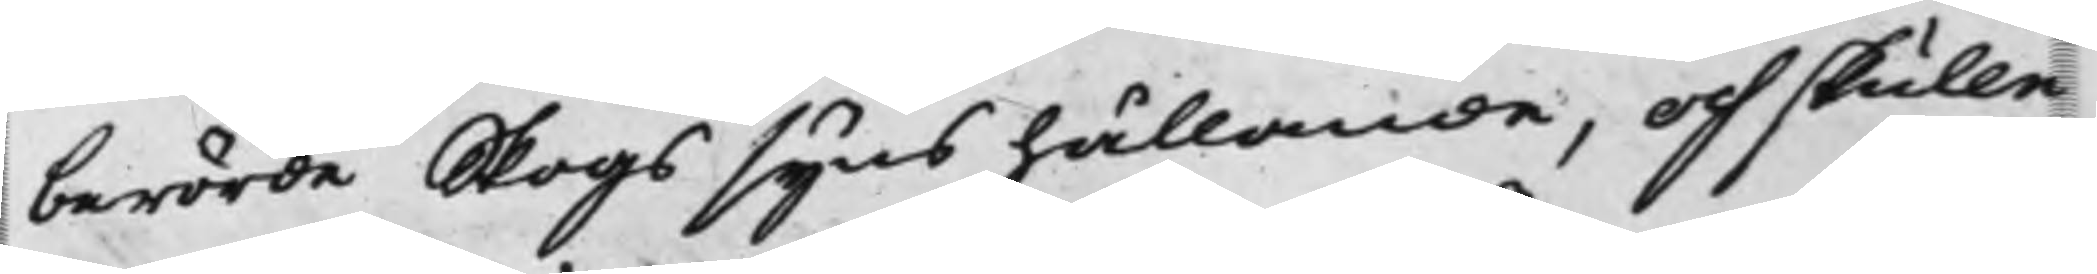berörde Skogssyns hållande, och skulle
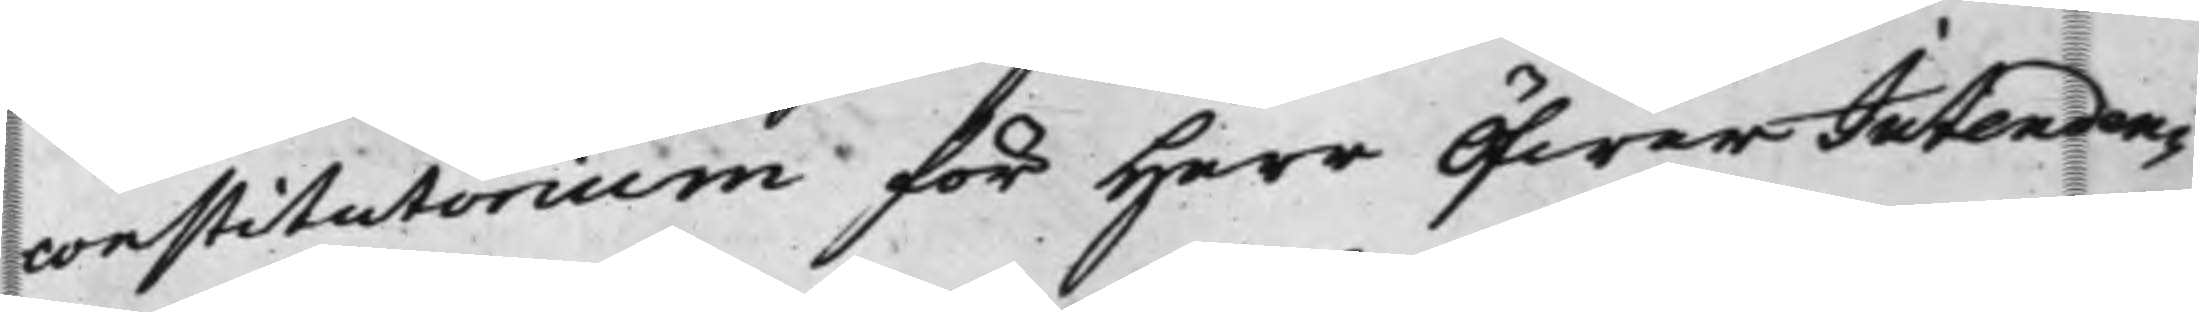consistorium för Herr ÖfwerIntenden¬
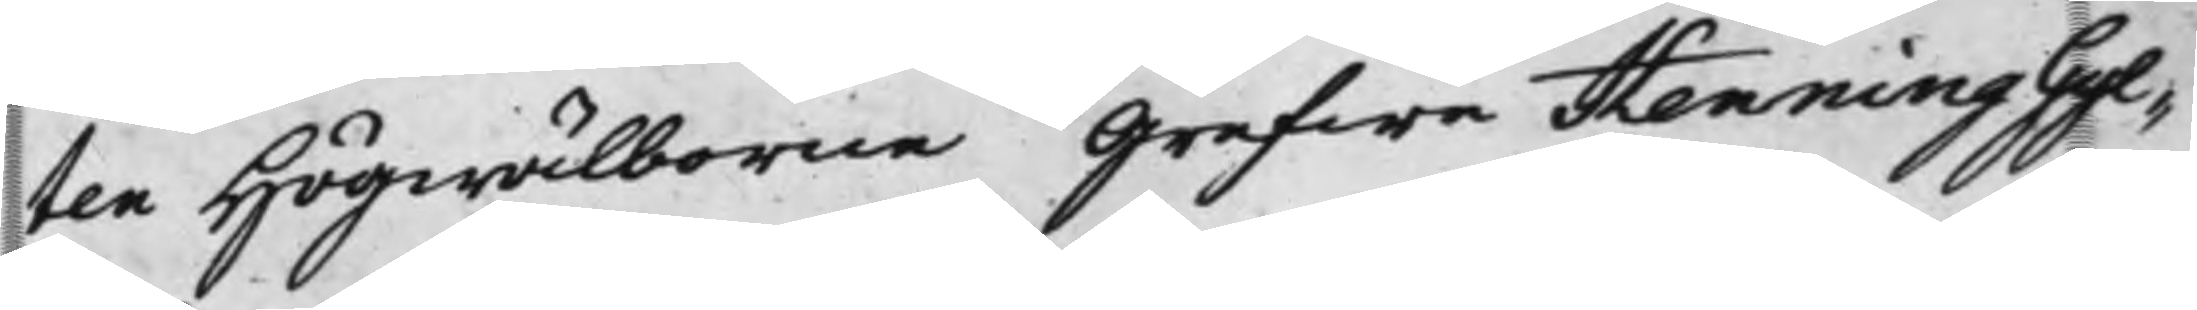ten Högwälborne Grefwe Henning Gyl¬
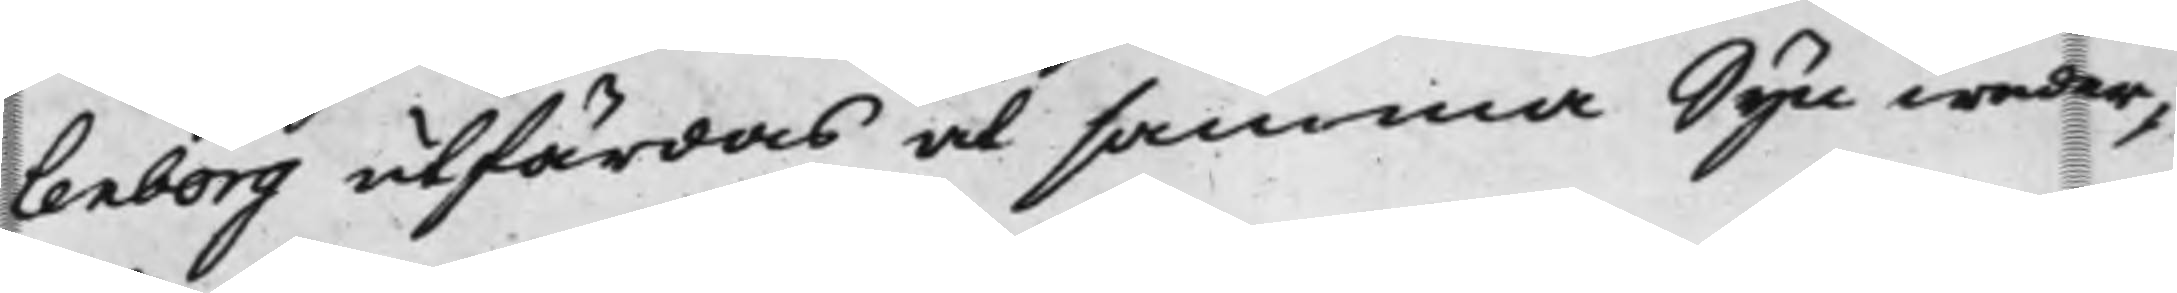lenborg utfärdas at samma Syn weder¬
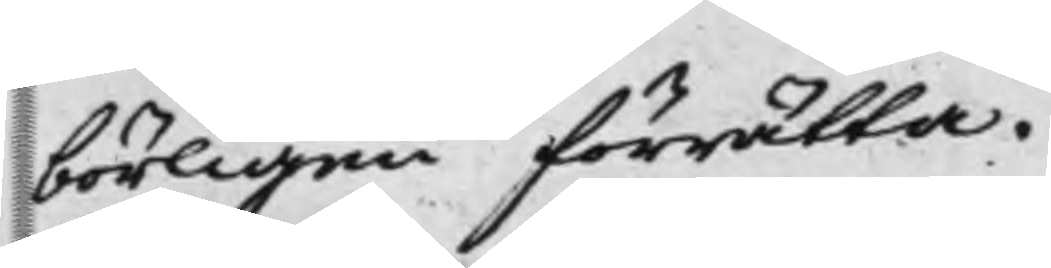börligen förrätta.
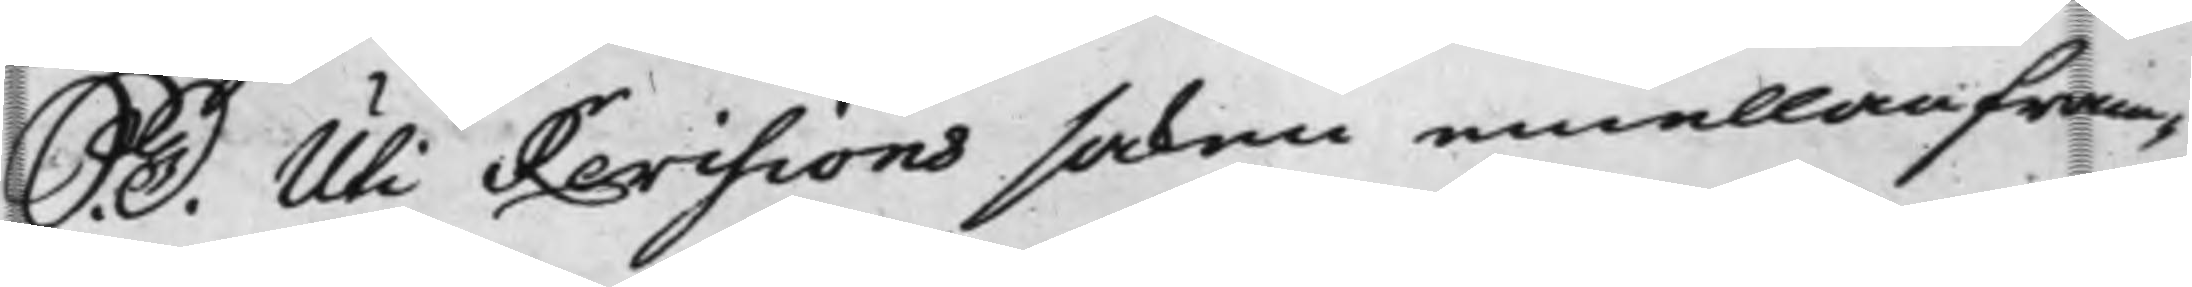S. D. Uti Revisionssaken emellan fram¬
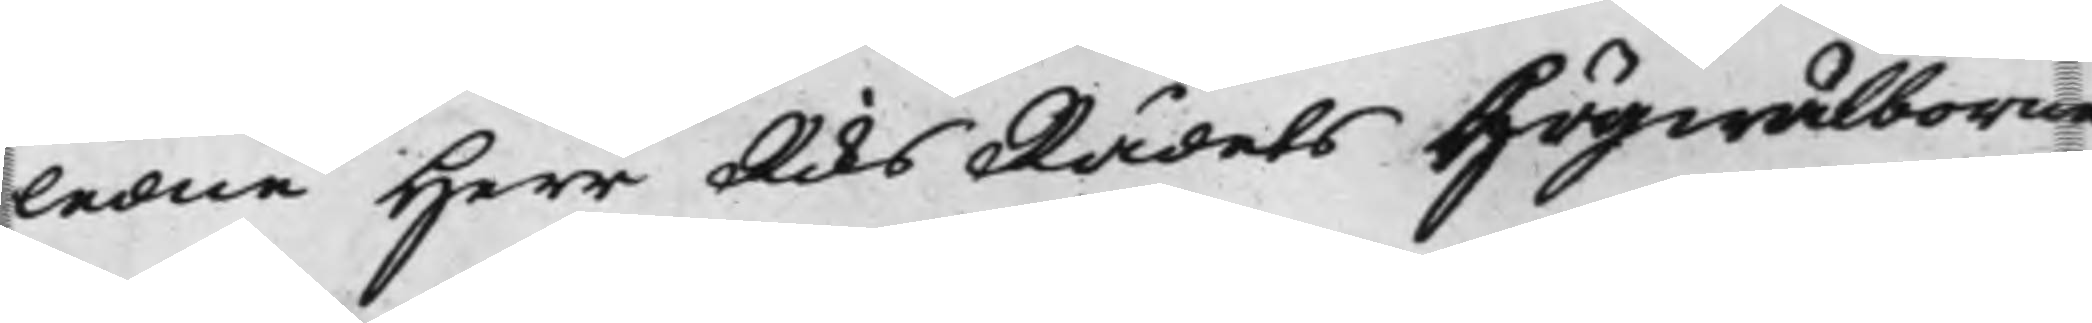ledne Herr RiksRådets Högwälborne
